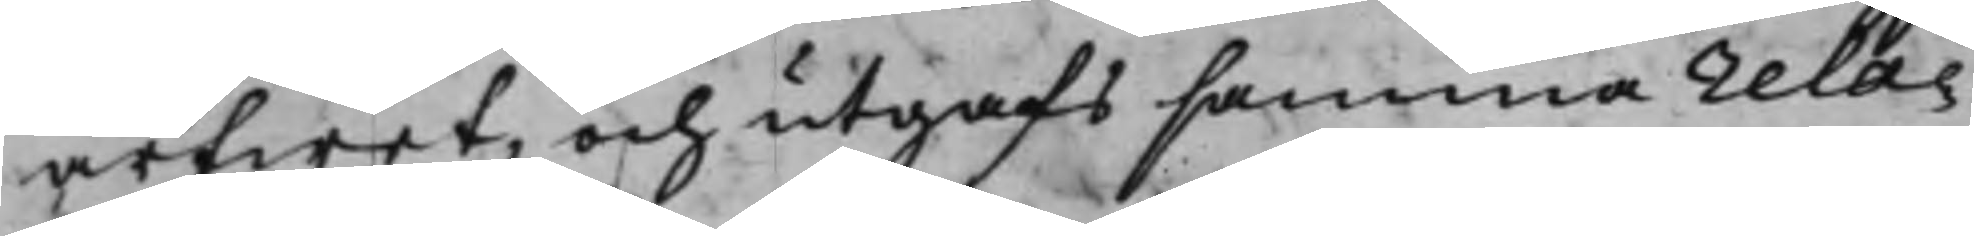arfwet, och utgafs samma rela¬
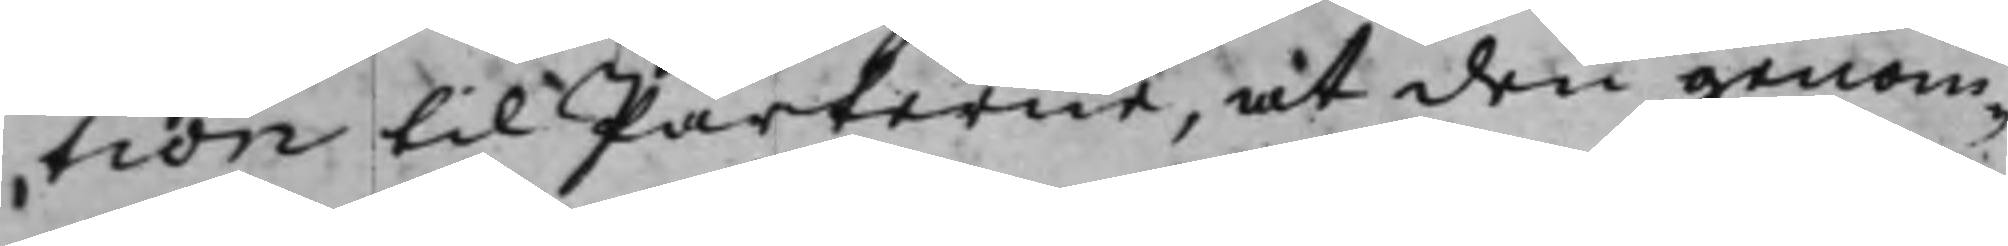tion til Parterne, at den genom¬
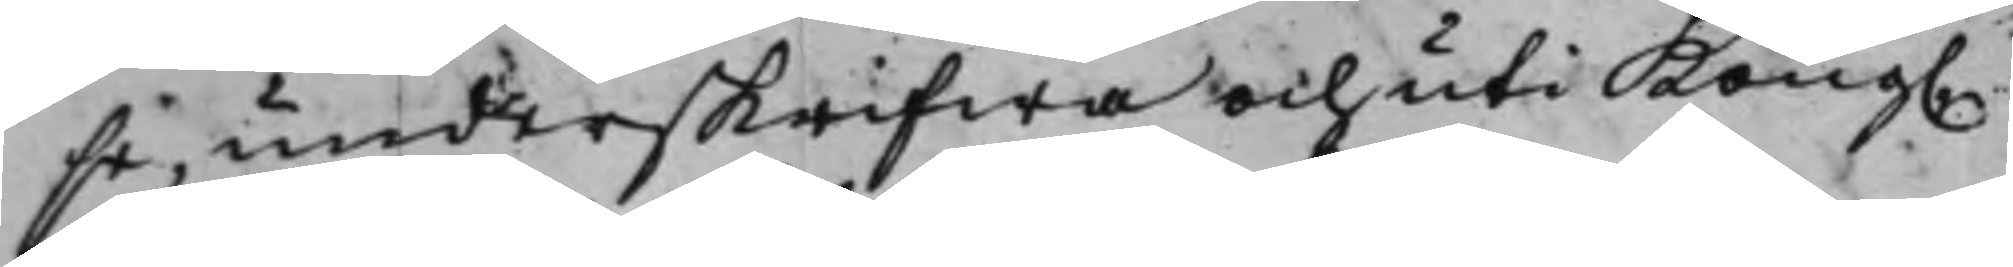se, underskrifwa och uti Kong.
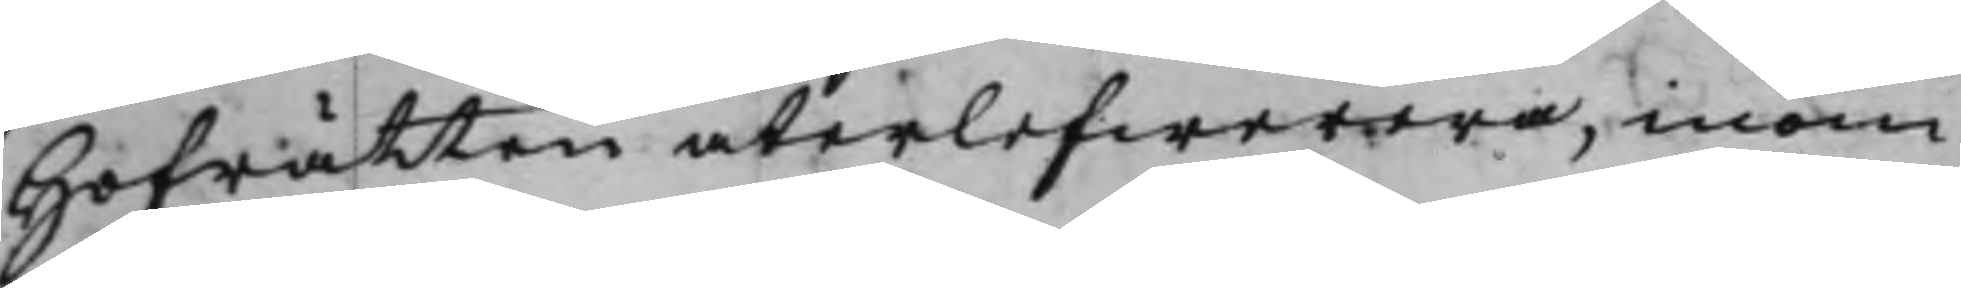Hofrätten återlefwerera, inom
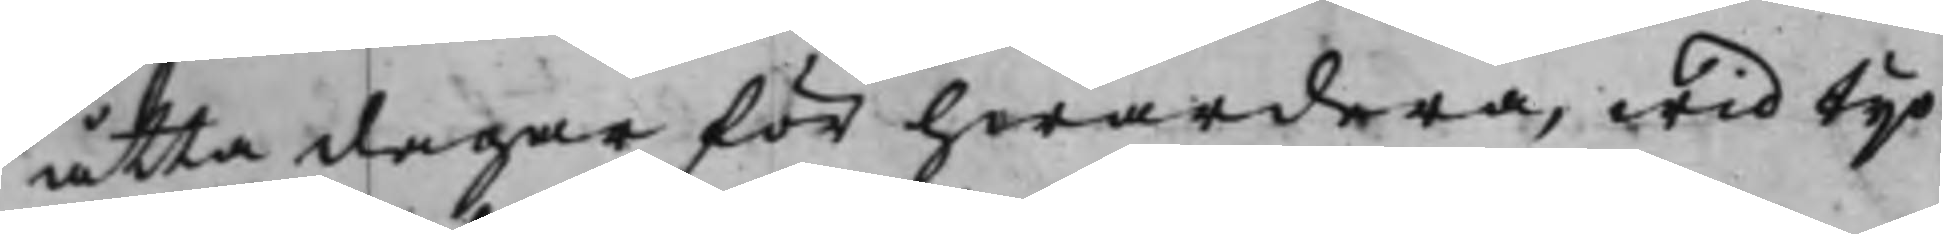åtta dagar för hwardera, wid tijo
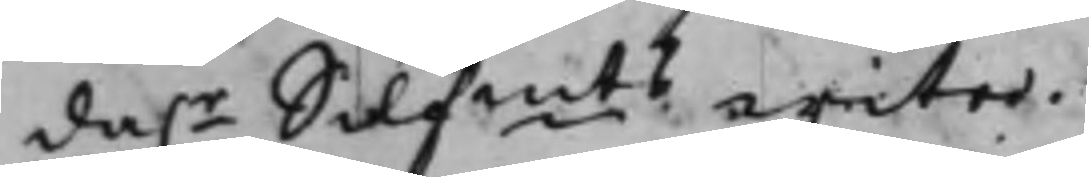da.r Silfmts wite.
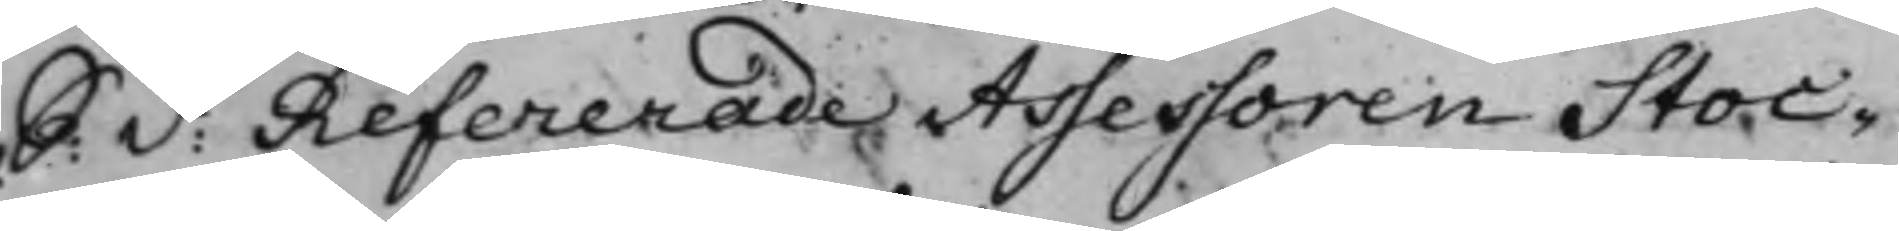S: d: Refererade Assessoren Stoc¬
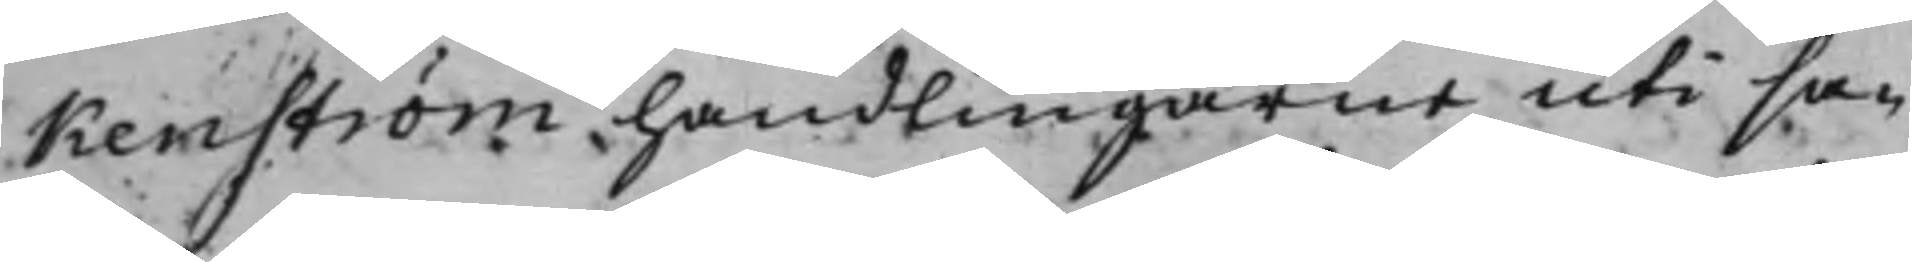kenström handlingarne uti sa¬
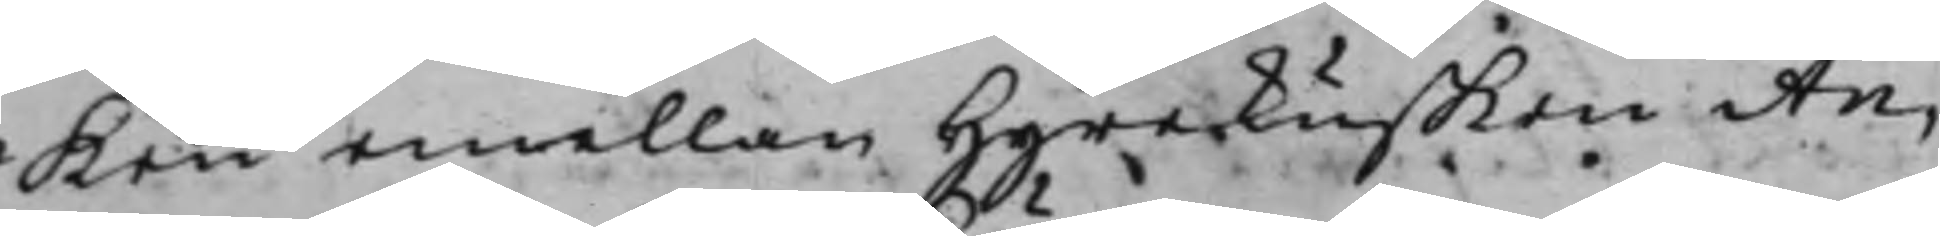ken emellan Hyrekusken An¬
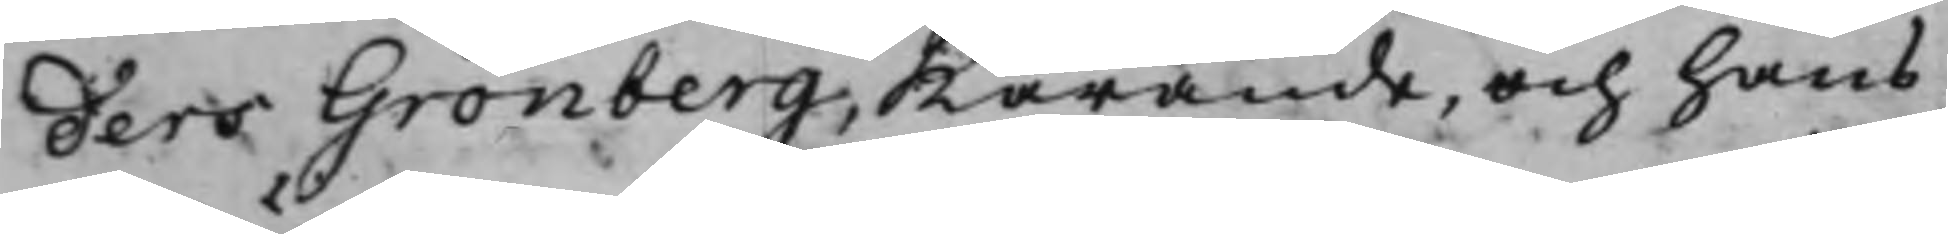ders Grönberg, Kärande, och hans
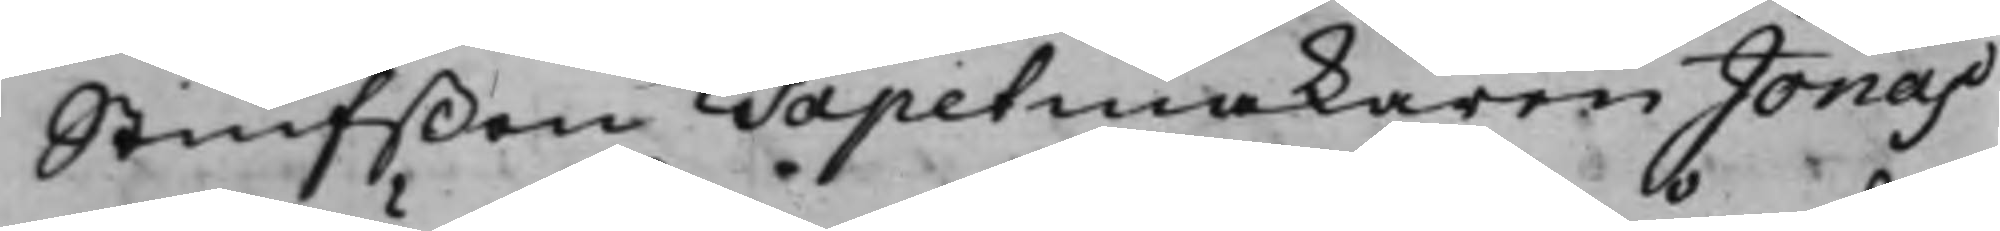Stiufßon Tapetmakaren Jonas
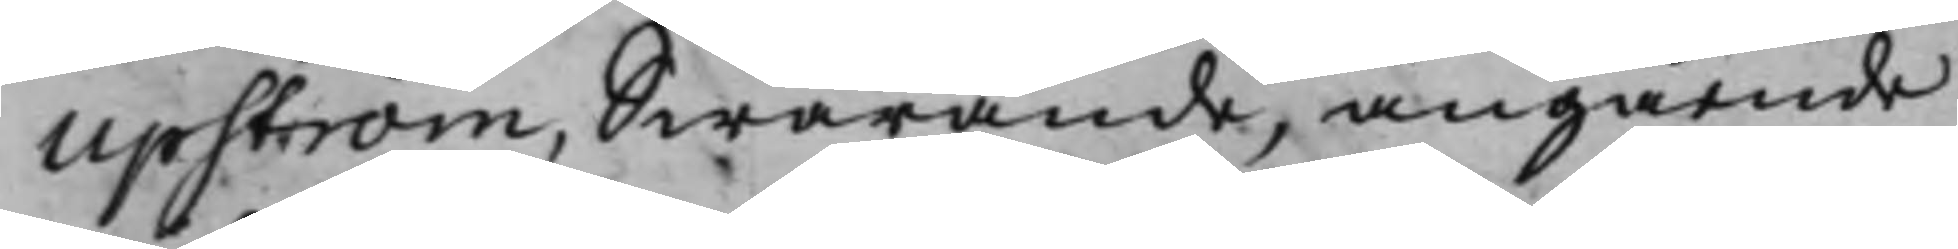Upström, Swarande, angående
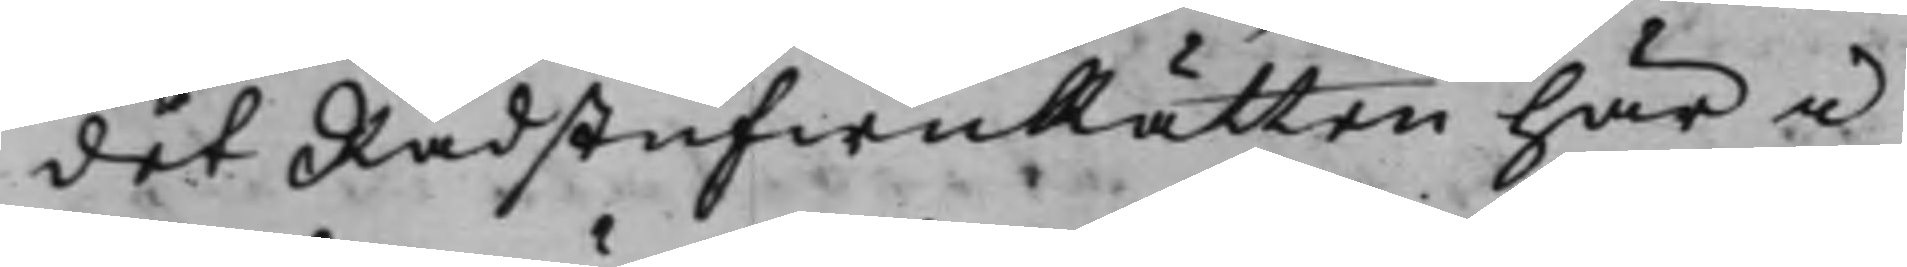det RådstufwuRätten här i
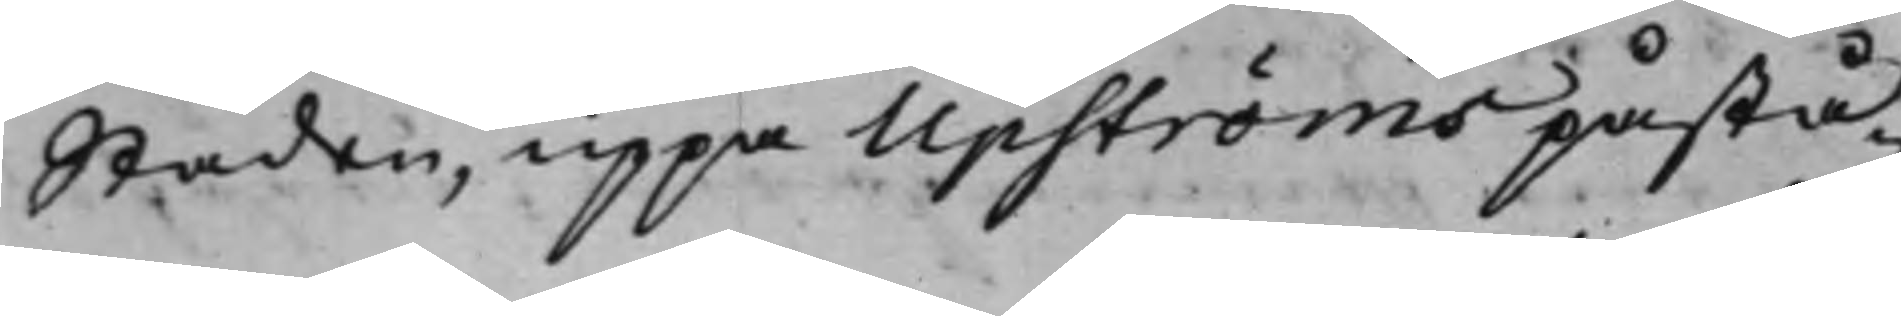Staden, uppå Upströms påstå¬
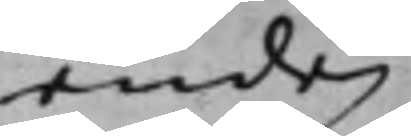ende
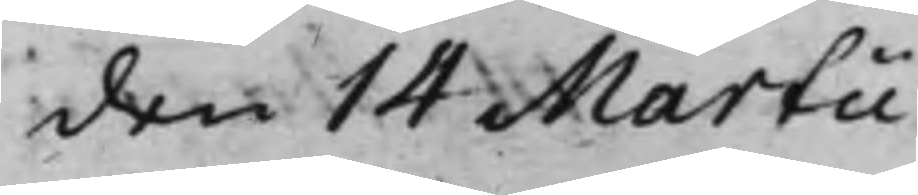den 14 Martii
